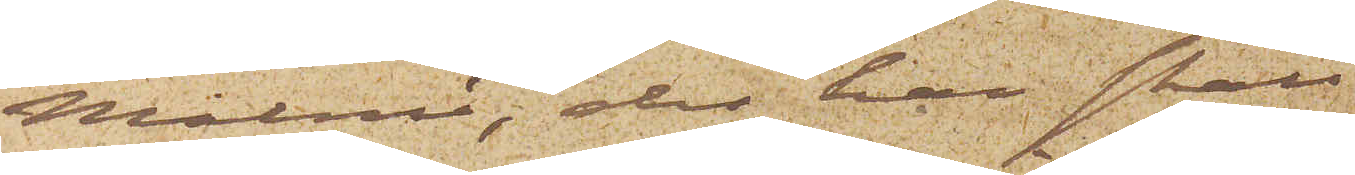Malmö, der han skall
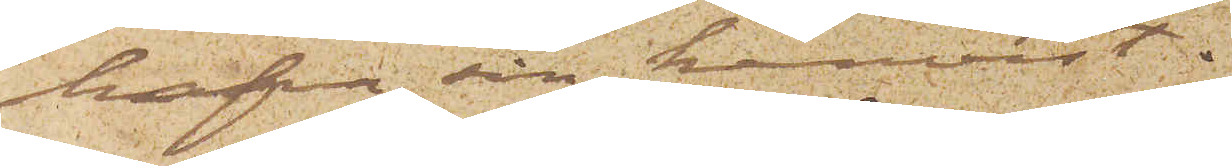hafva sin hemvist.
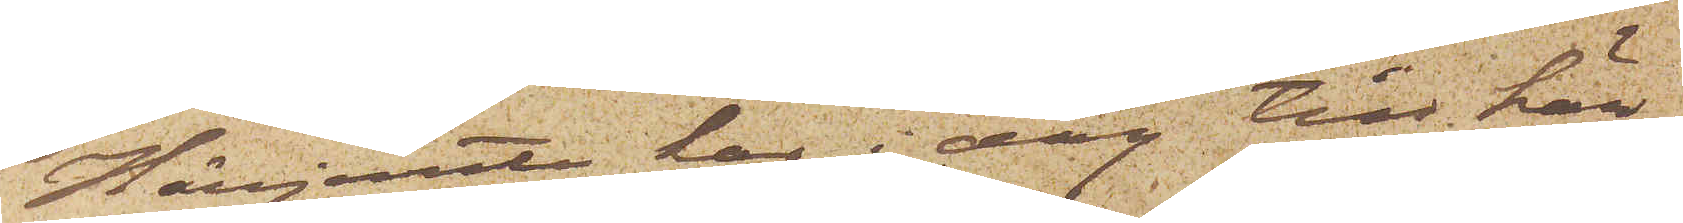Härjemte har i dag till här¬
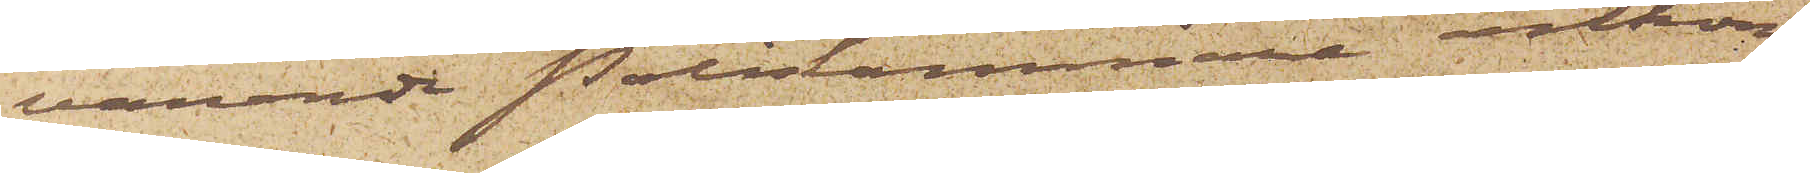varande Poliskammare ankom¬
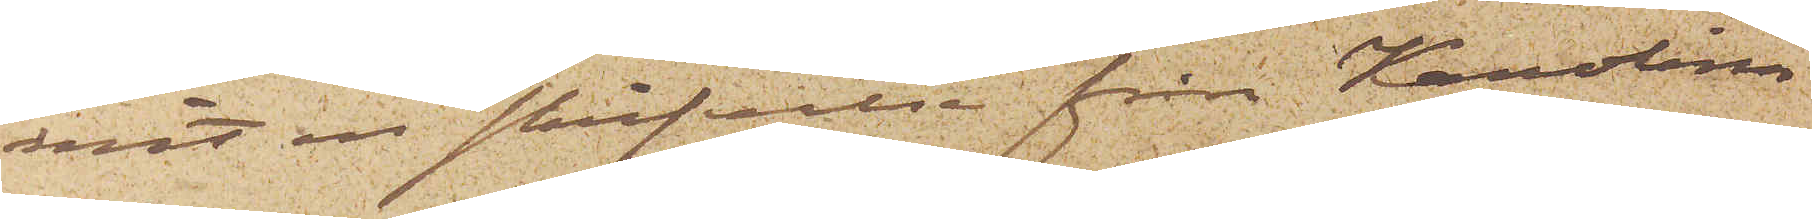mit en skrifvelse från Karolina
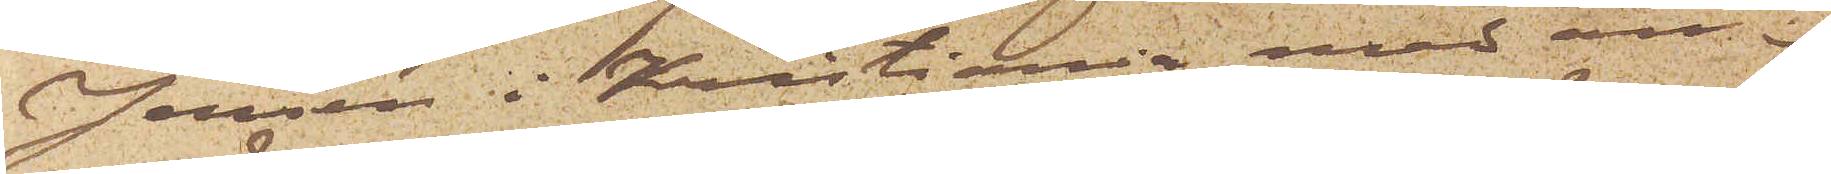Jensen i Kristiania med an¬
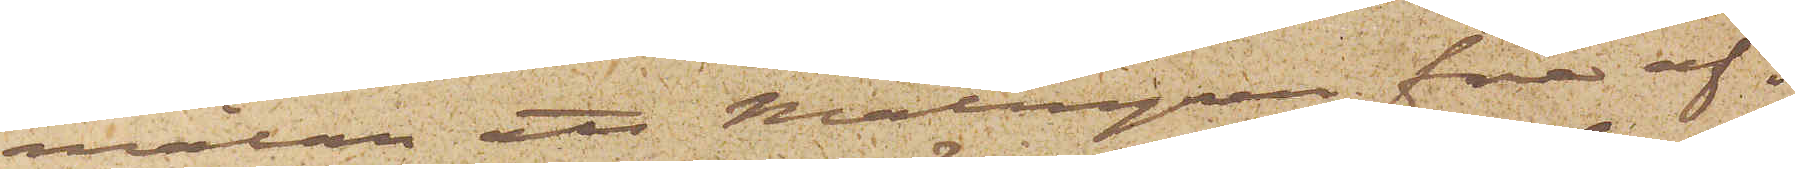mälan att Malmgren före af¬ 
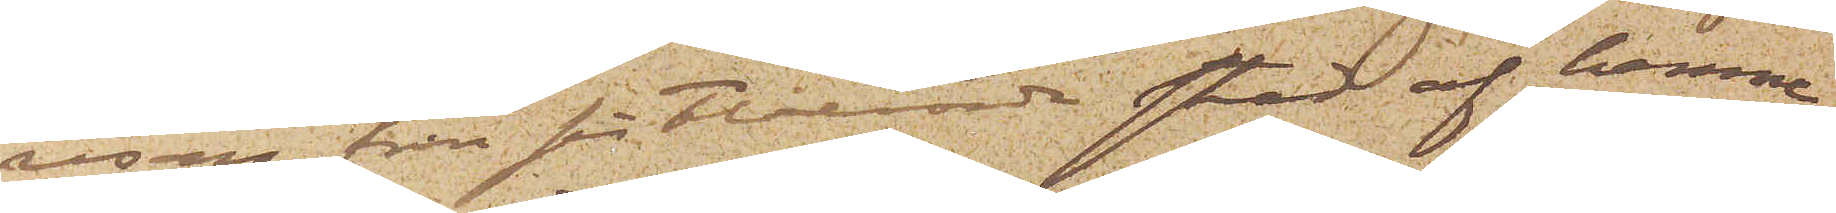resan från sistberörde stad af henne
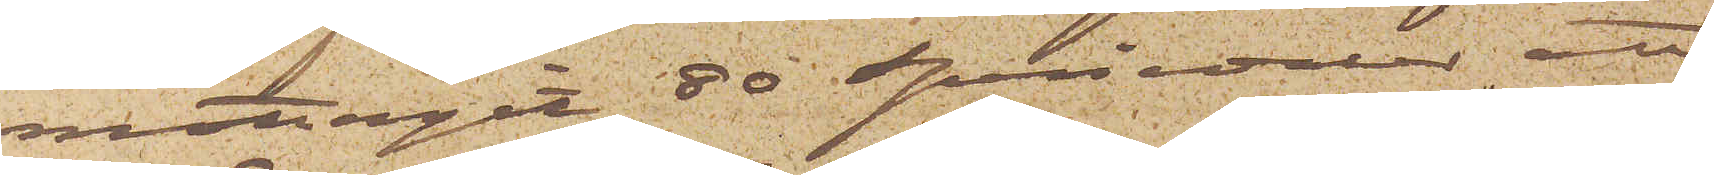mottagit 80 Speciedaler; att
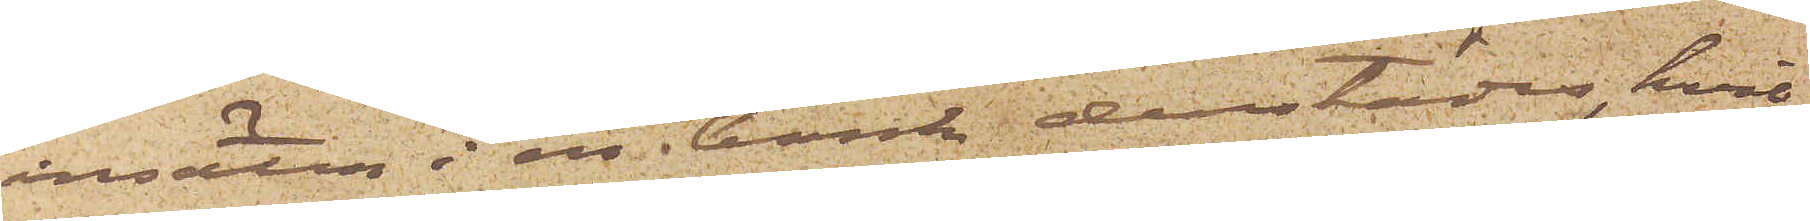insättas i en bank derstädes, hvil¬
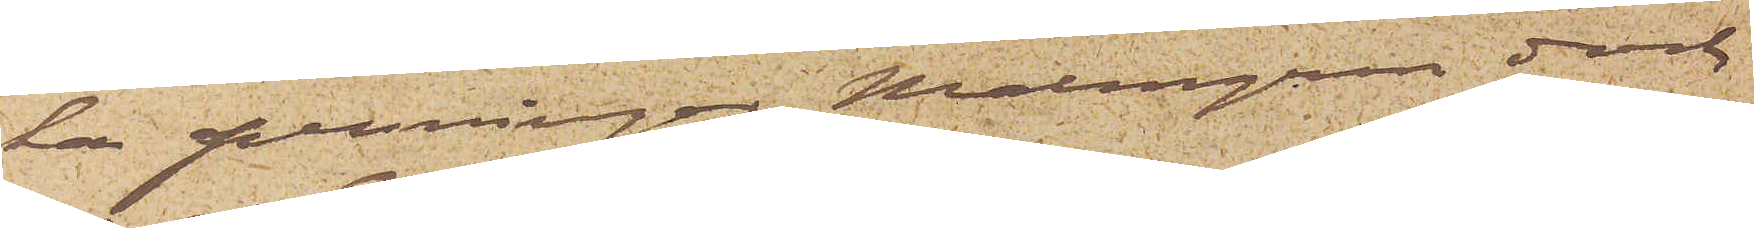ka penningar Malmgren dock
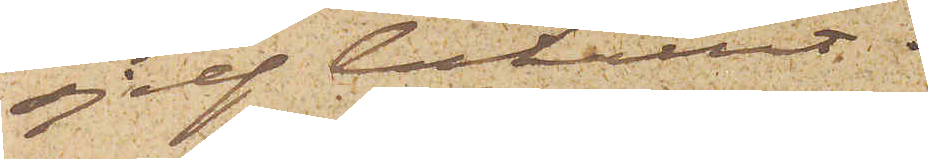sjelf behållit.
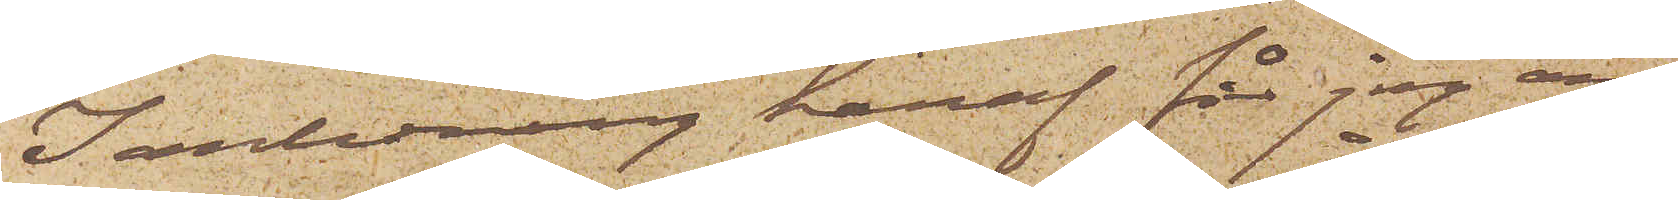I anledning häraf får jag an¬
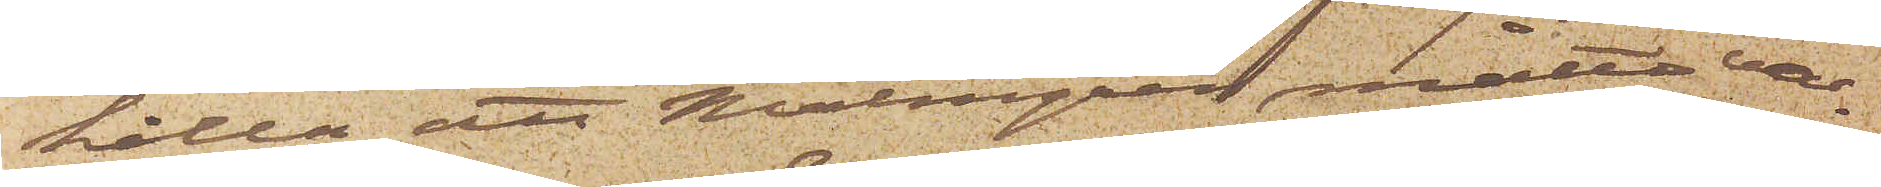hålla att Malmgren måtte var¬
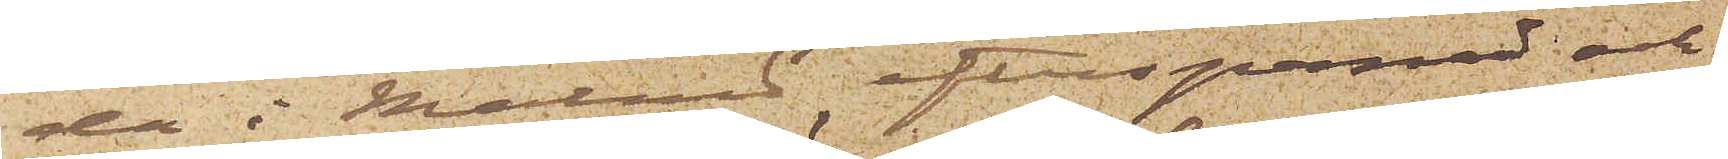da i Malmö efterspanad och
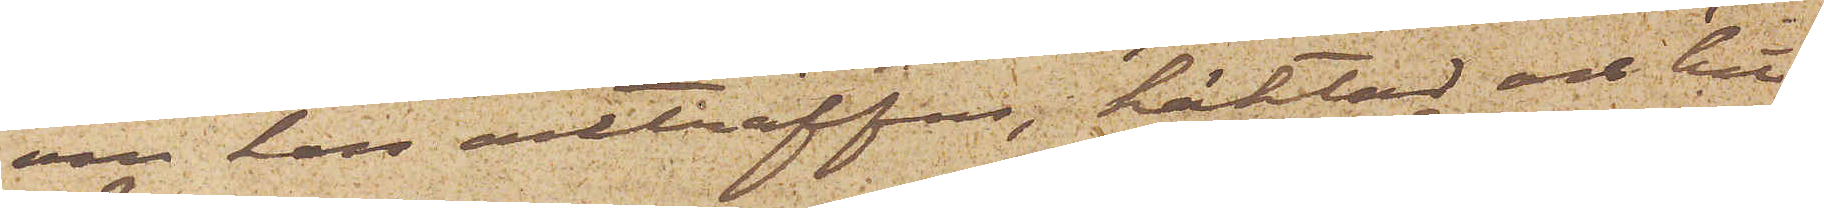om han anträffas, häktad och hit¬
